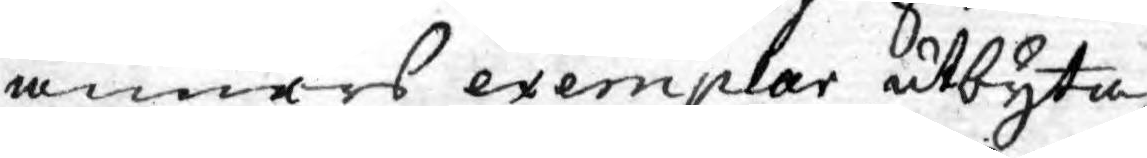anners exemplar utbyta,
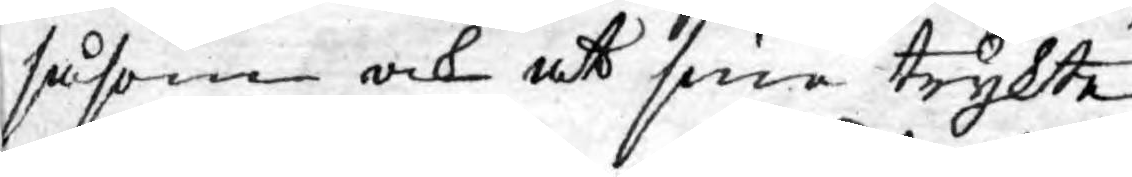såsom och att sine trykte
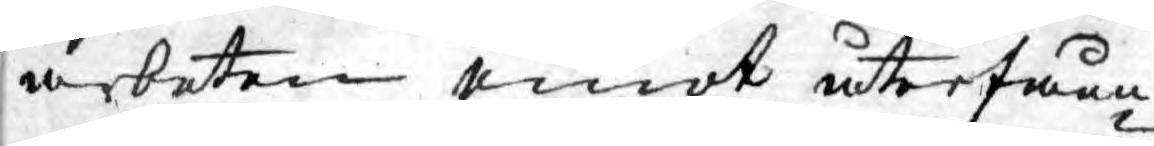arbeten emot återfåen¬
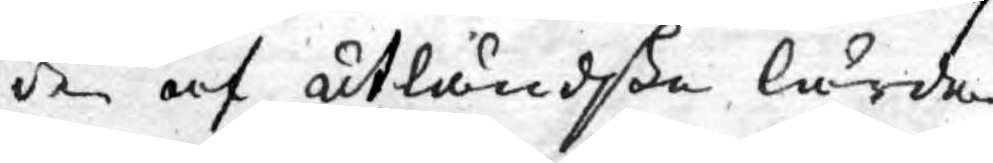de af utländske lärde
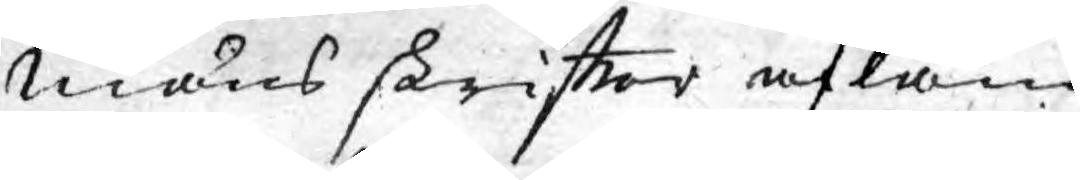mäns skriftter afläm¬
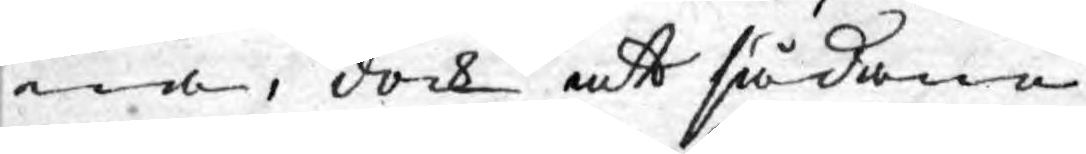na, dock att sådane
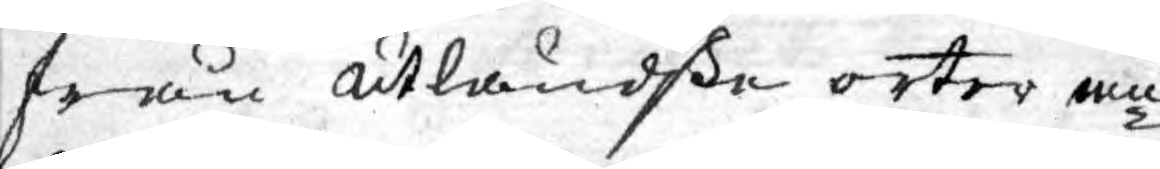från utländske orter an¬
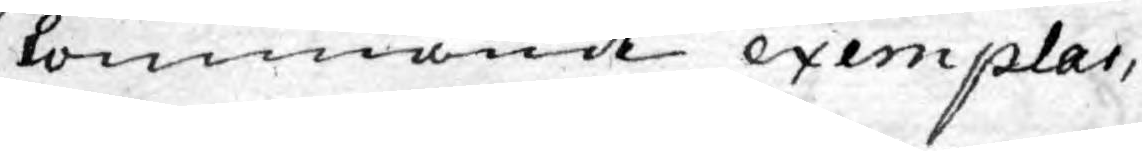kommande exemplar,
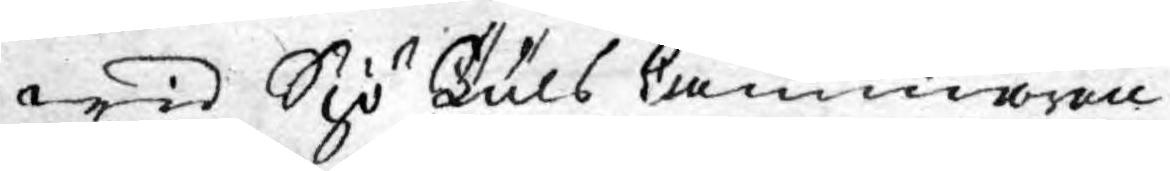wid Sjö Tuls Cammaren
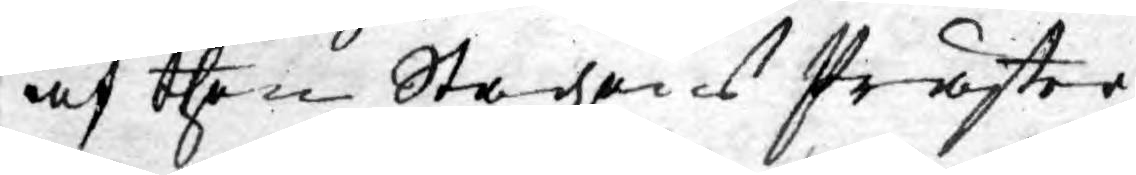af then Stadzens Präster¬
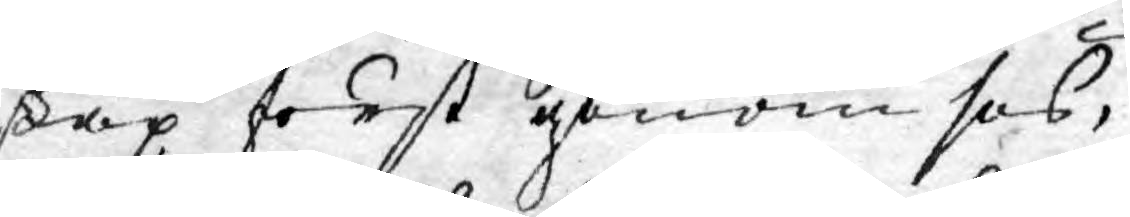skap först genom ses,
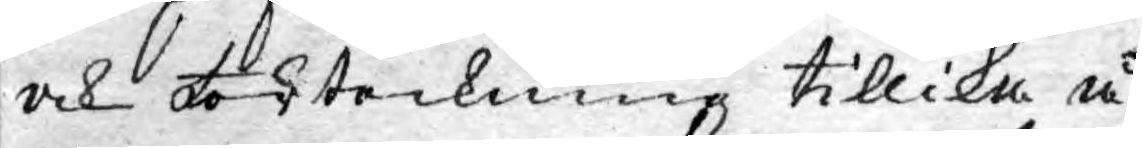och förteckning tillika å
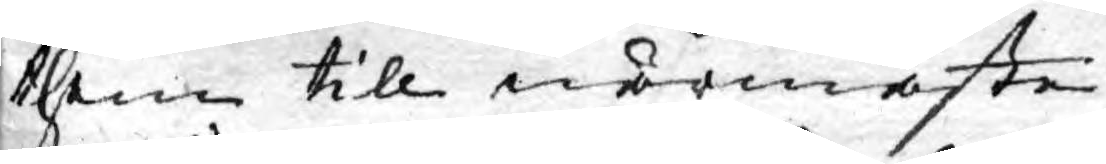them till närmaste
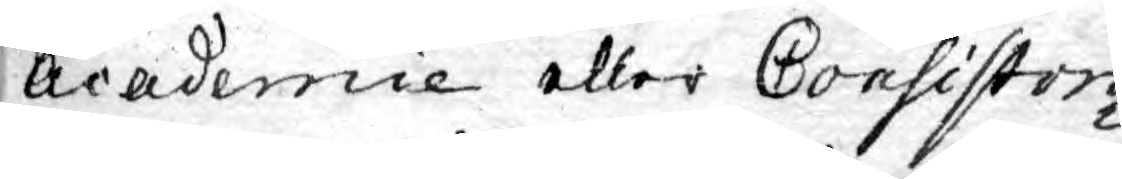Academie eller Consistori¬
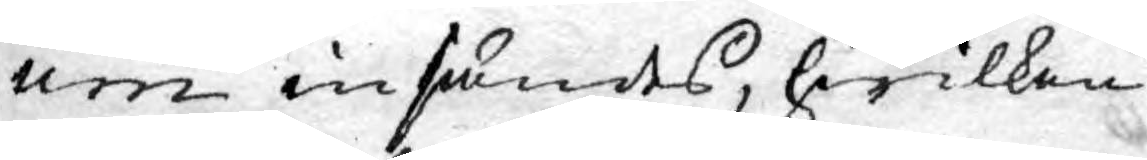um insändes, hwilken
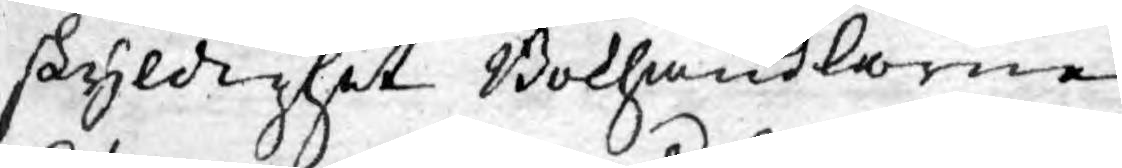skyldighet Bokhandlarne
